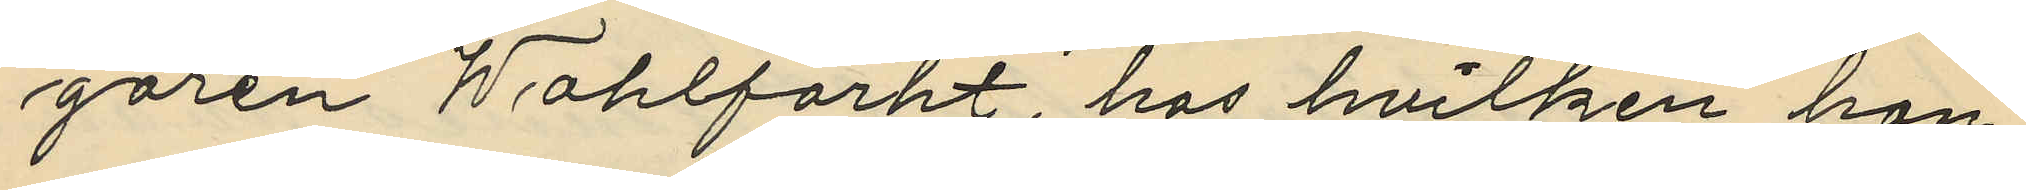garen Wahlfarht, hos hvilken han
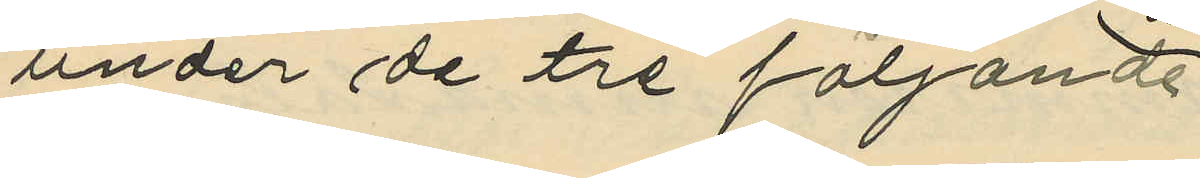under de tre följande
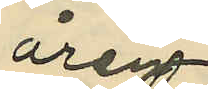åren
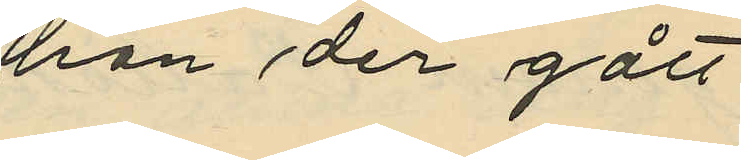han der gått
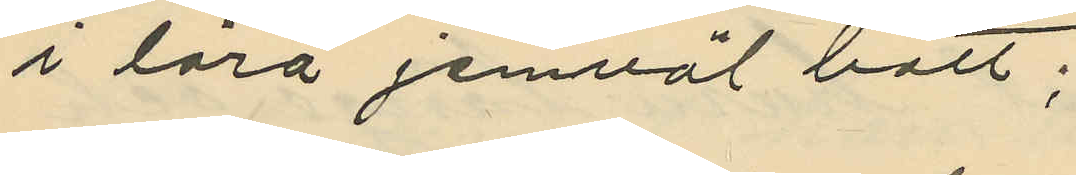i lära jemväl bott;
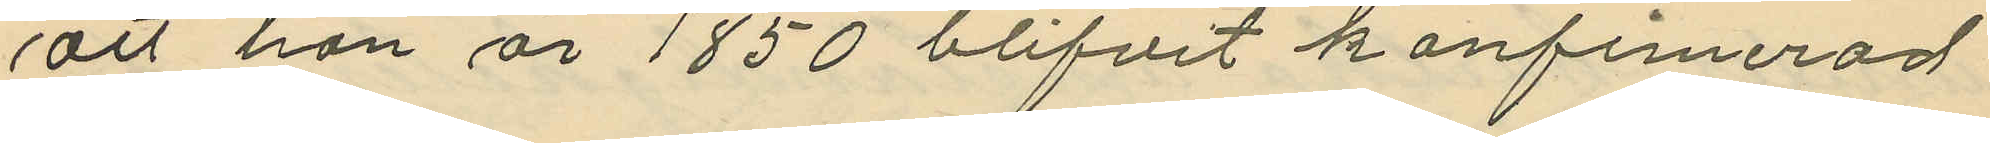att han år 1850 blifvit konfimerad
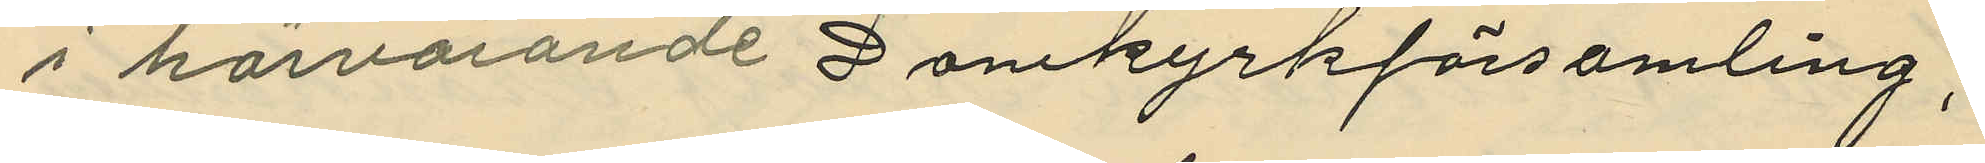i härvarande Domkyrkförsamling;
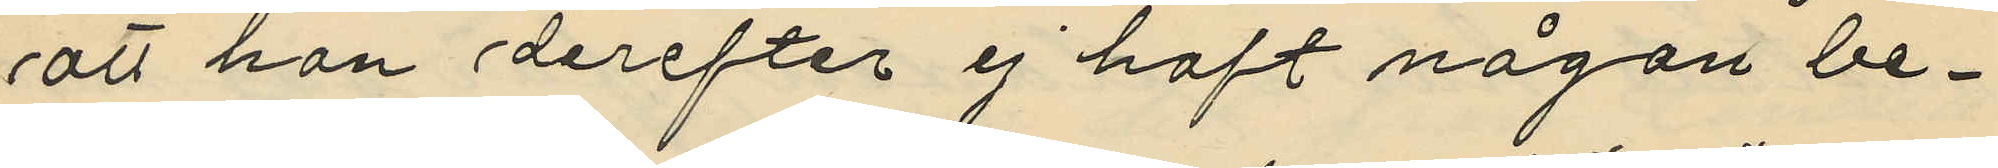att han derefter ej haft någon be¬
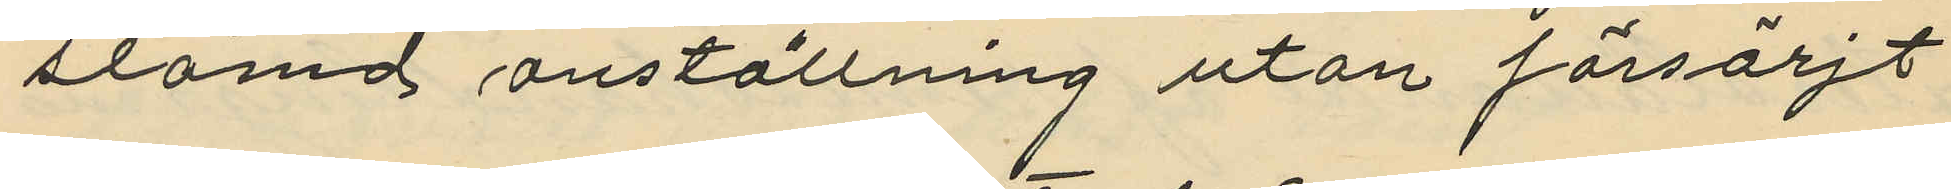stämd anställning utan försöljt
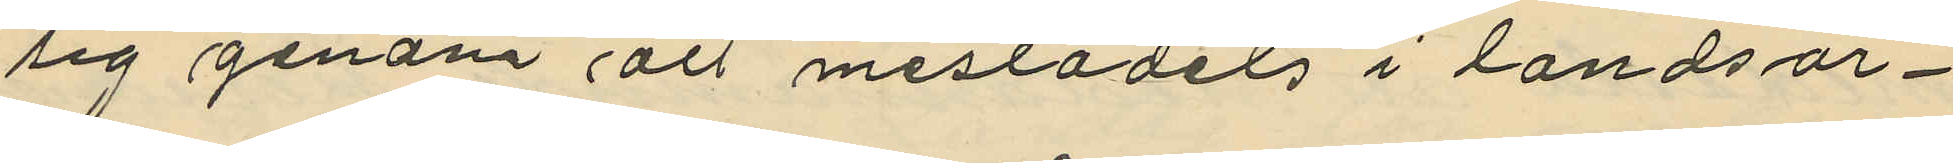sig genom att mestädets i landsor¬
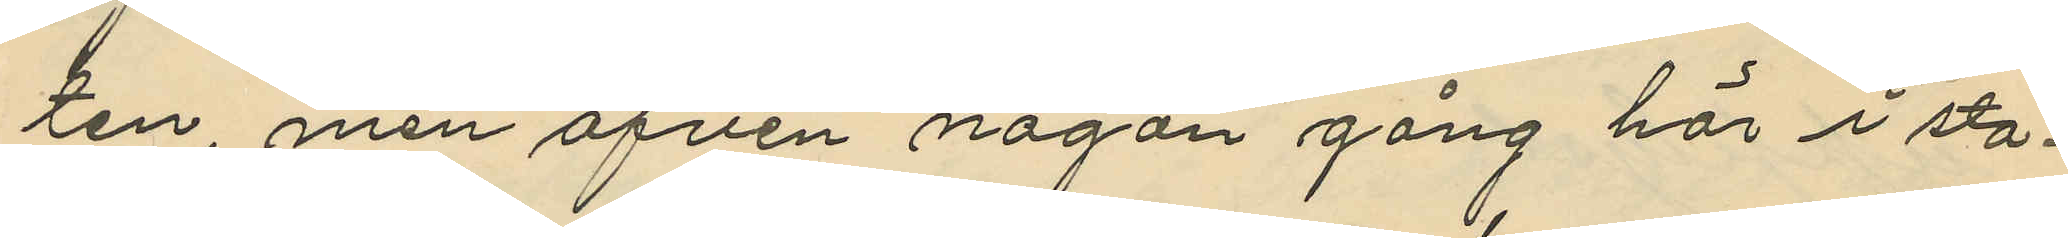ten, men äfven någon gång här i sta¬
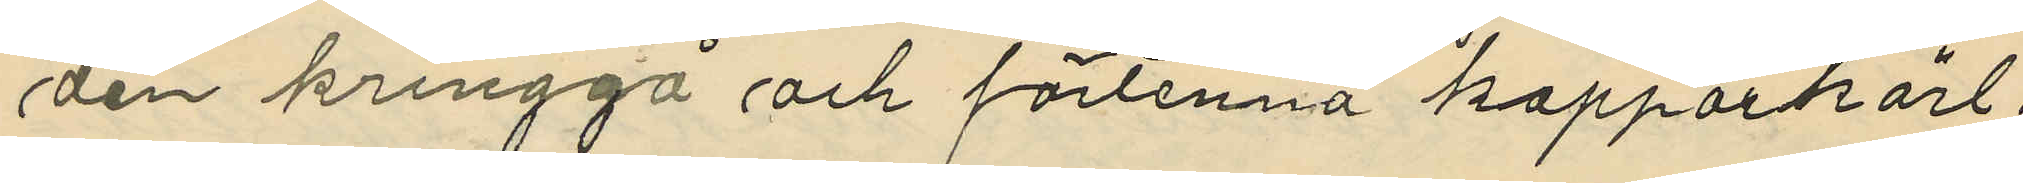den kringgå och förtenna kopparkärl;
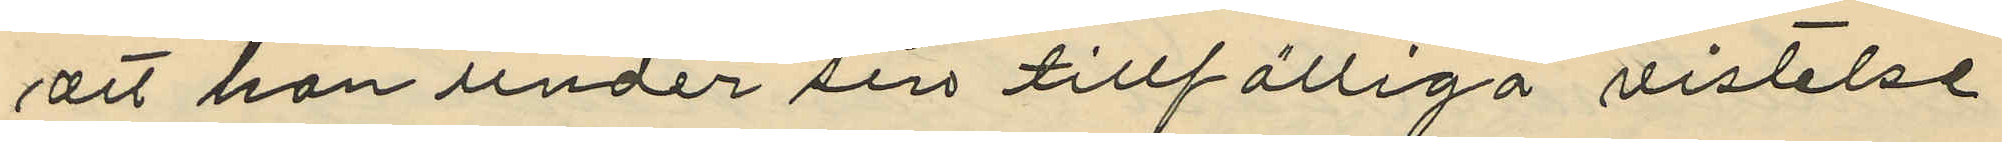att han under sin tillfälliga vistelse
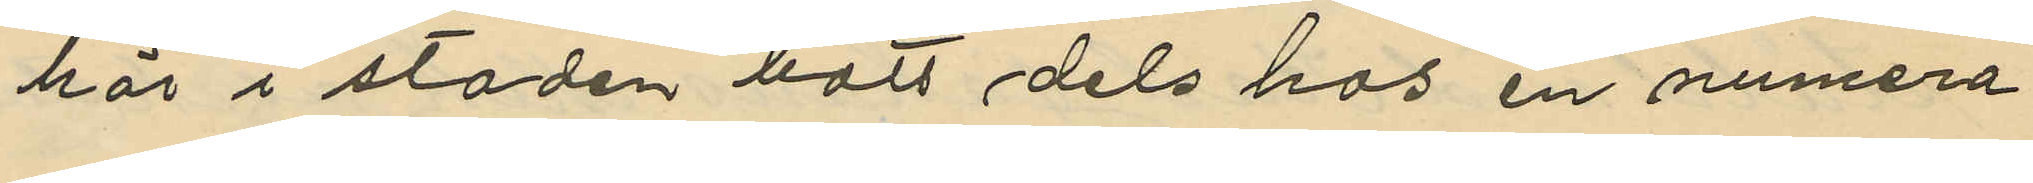här i staden bott dels hos en numera
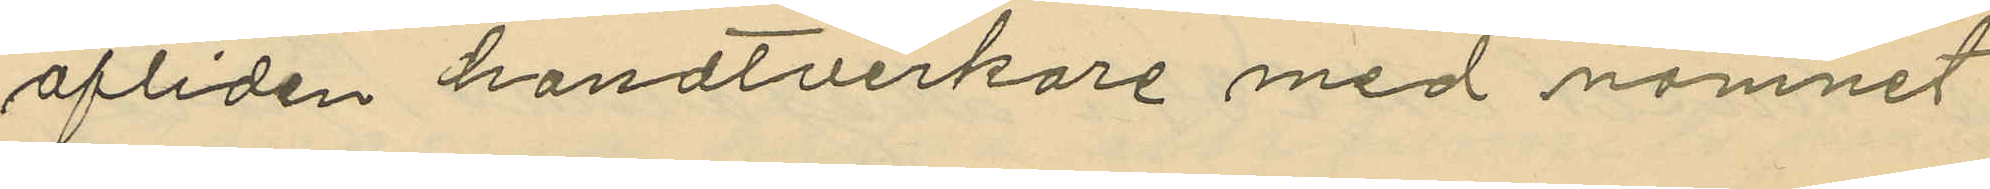afliden handtverkare med namnet
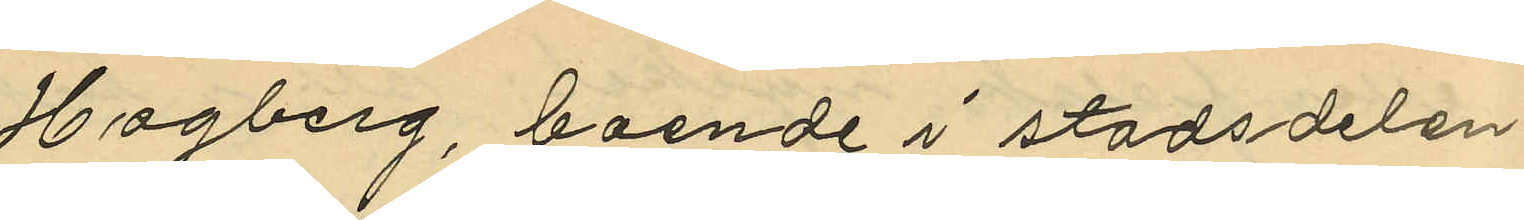Hagberg, boende i stadsdelen
